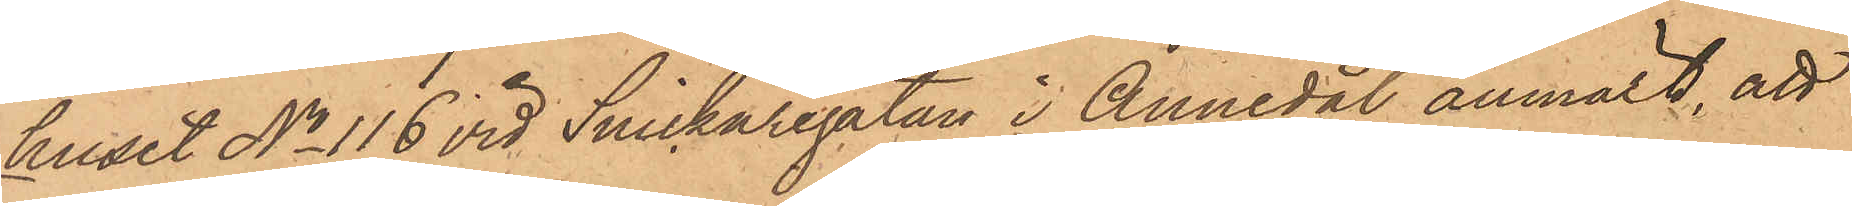huset No 116 vid Snickaregatan i Annedal anmält, att
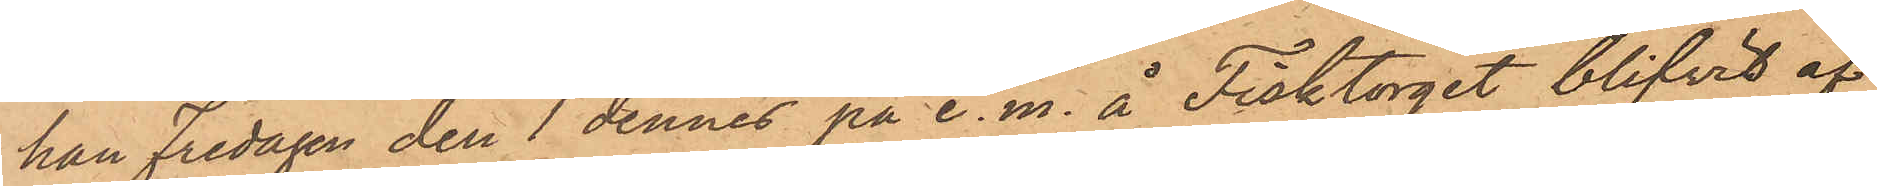han Fredagen den 1 dennes på e. m. å Fisktorget blifvit af
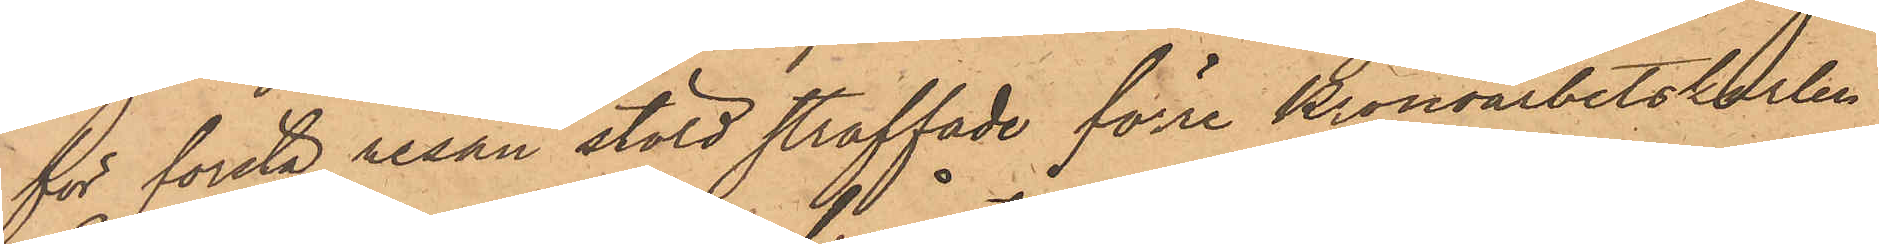för första resan stöld straffade förre Kronoarbetskarlen
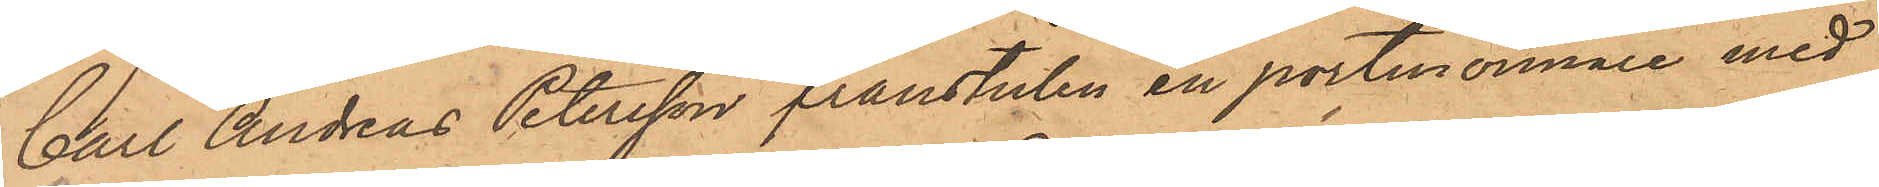Carl Andreas Petersson frånstulen en portmonnaie med
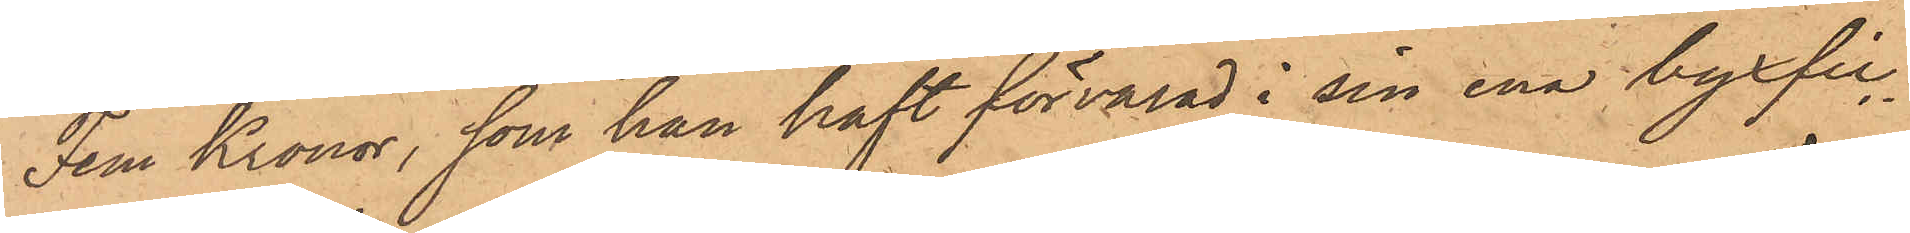Fem Kronor, som han haft förvarad i sin ena byxfic¬
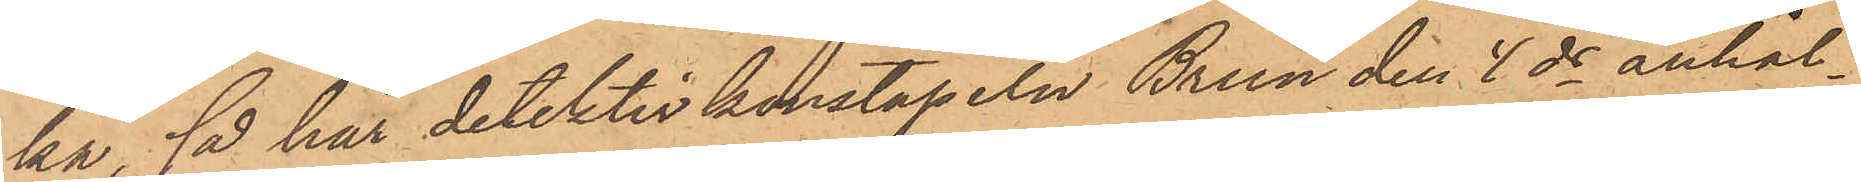ka, så har detektivkonstapeln Brun den 4 ds anhål¬
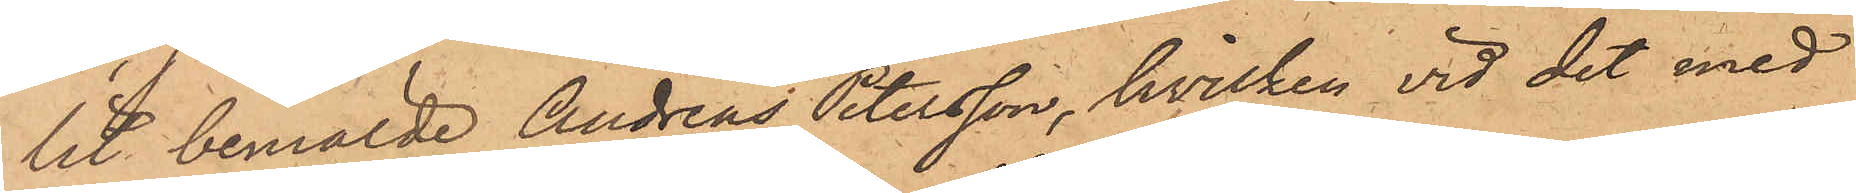lit bemälde Andreas Petersson, hvilken vid det med
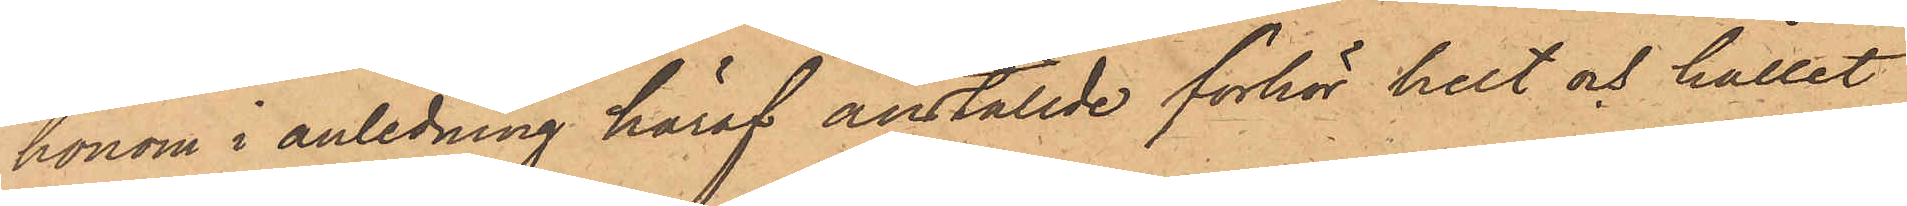honom i anledning häraf anställde förhör helt och hållet
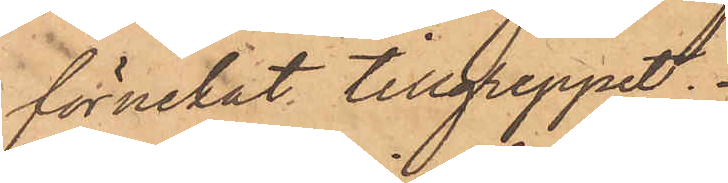förnekat tillgreppet.
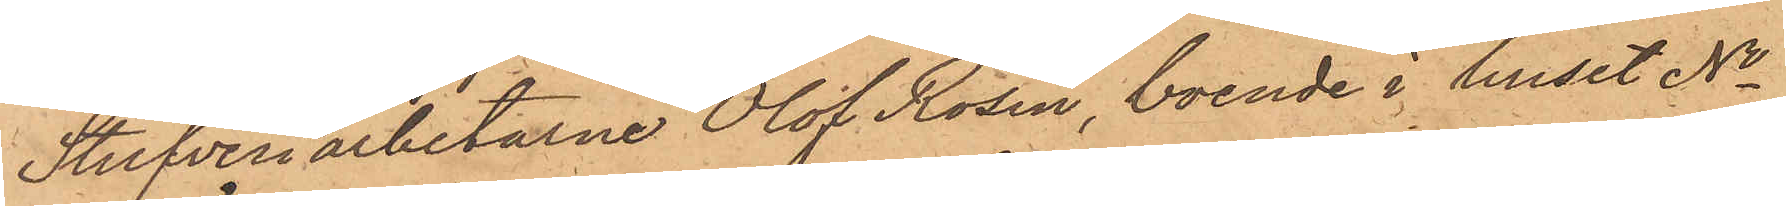Stufveriarbetarne Olof Rosin, boende i huset No
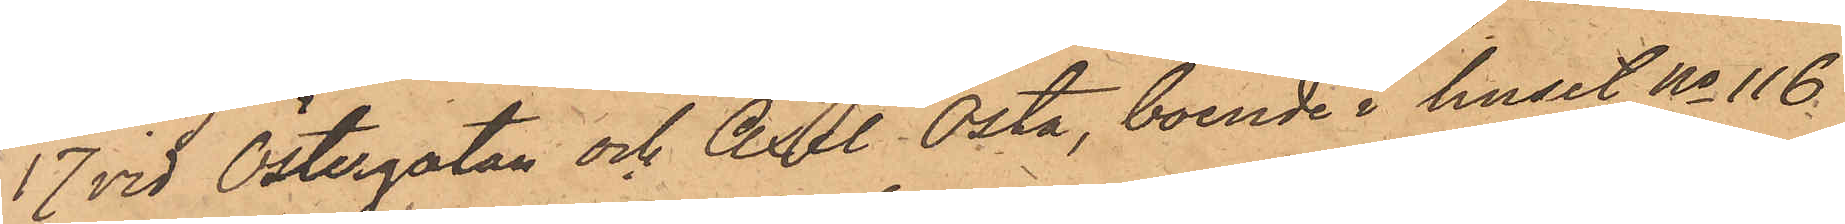17 vid Östergatan och Axel Osta, boende i huset No 116
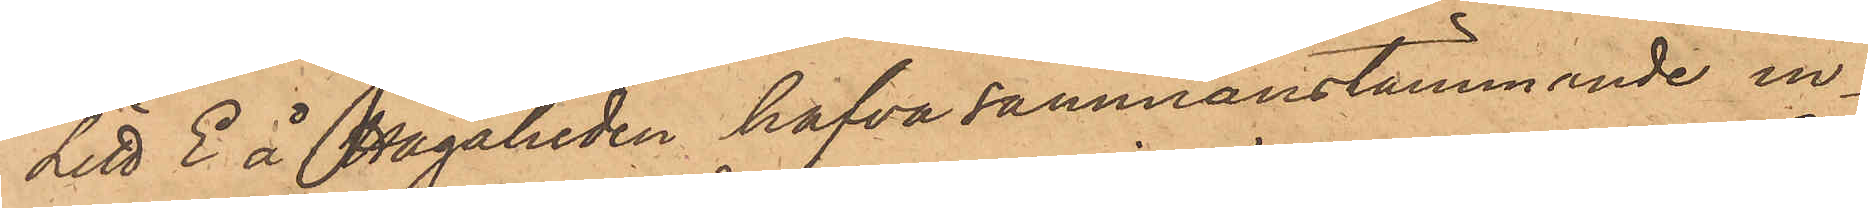Litt E å Hagaheden hafva sammanstämmande in¬
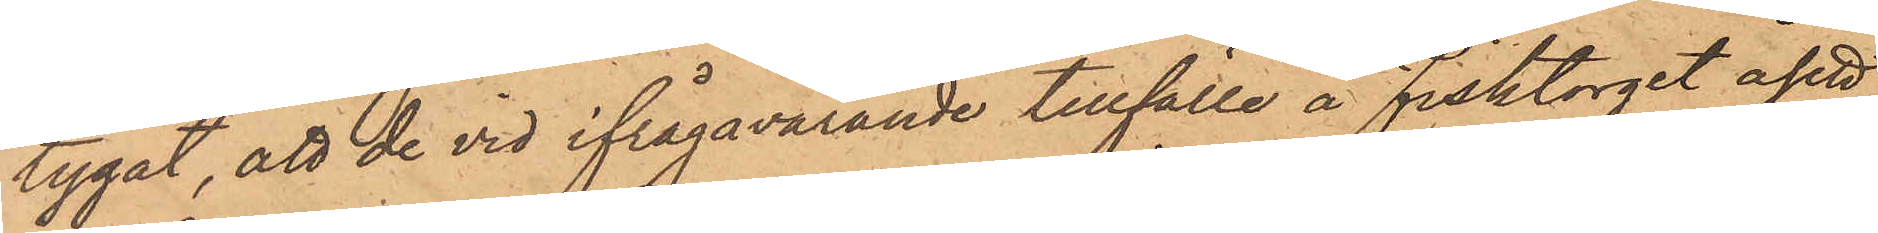tygat, att de vid ifrågavarande tillfälle å Fisktorget åsett
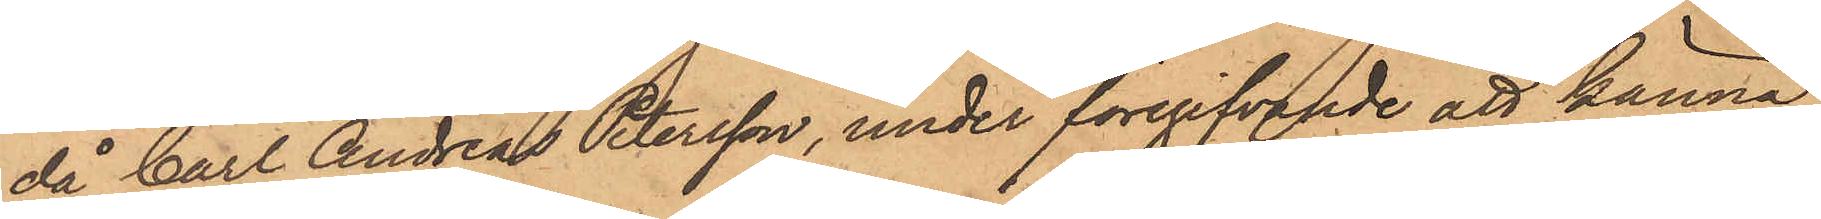då Carl Andreas Petersson, under föregifvande att känna
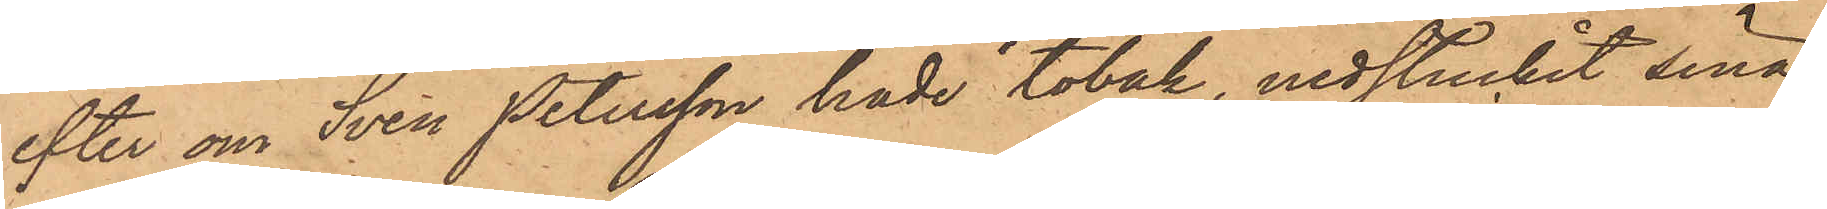efter om Sven Petersson hade tobak, nedstuckit sina
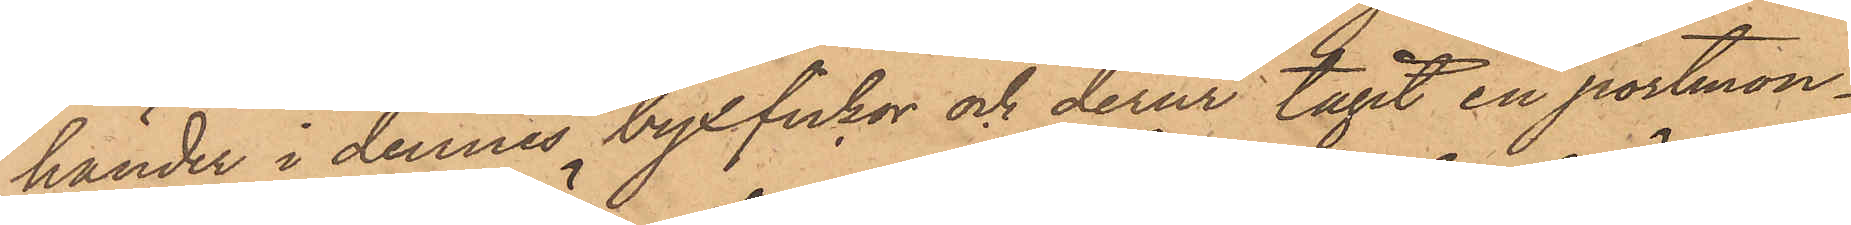händer i dennes byxfickor och derur tagit en portmon¬
